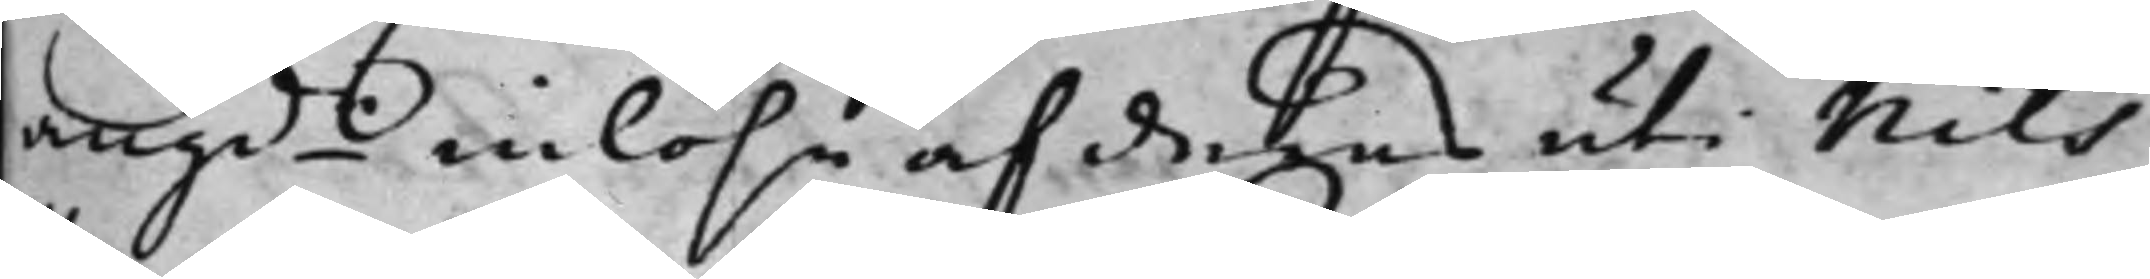angde inlösn af deras uti Nils
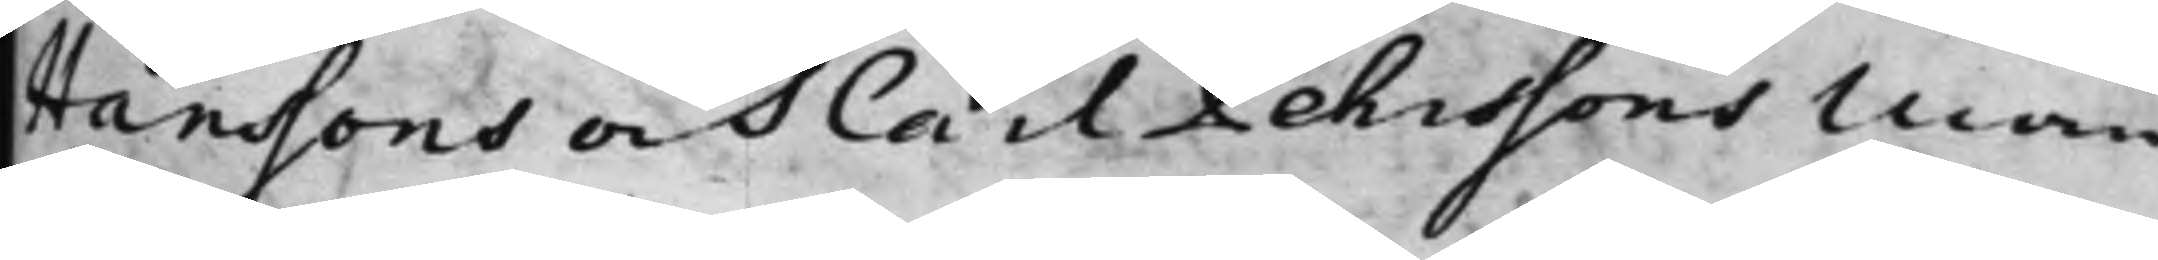Hanssons och Carl Pehrssons Man¬
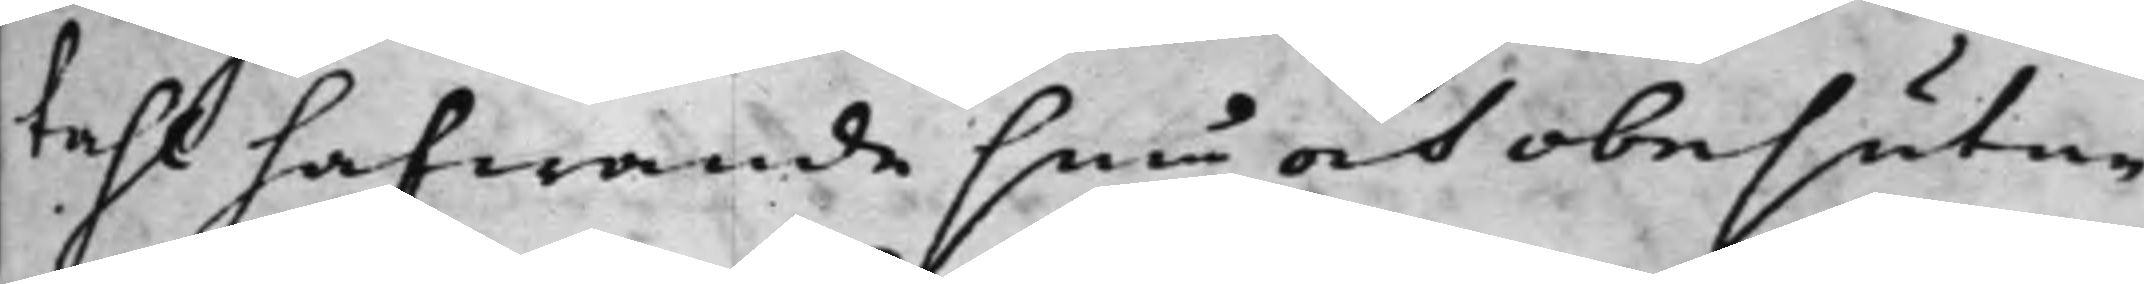tahl hafwande sine och obesutne
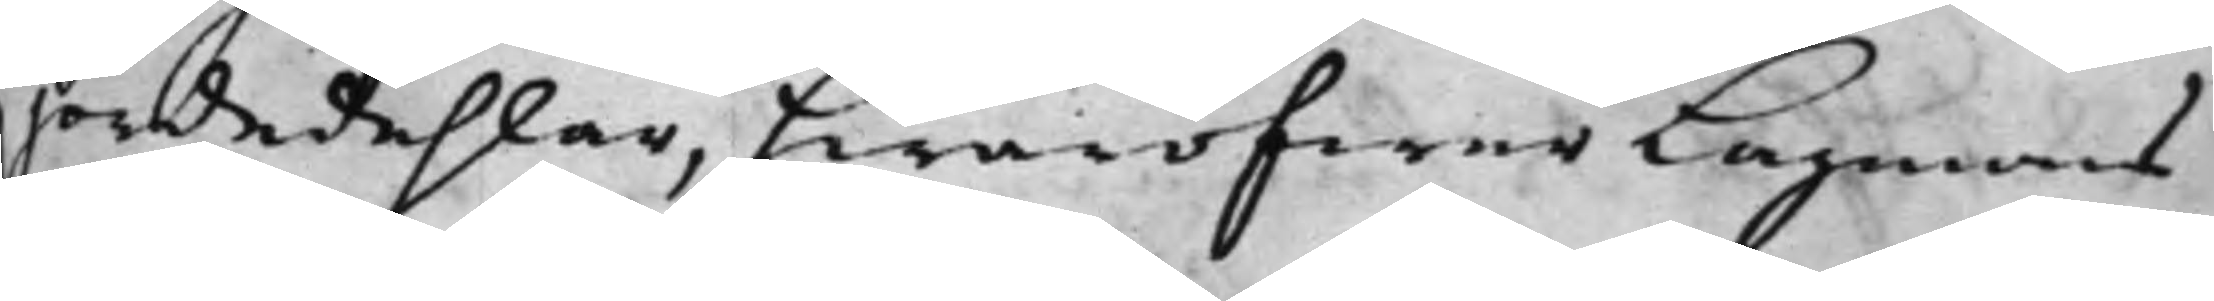jordedehlar, hwaröfwer Lagmans¬
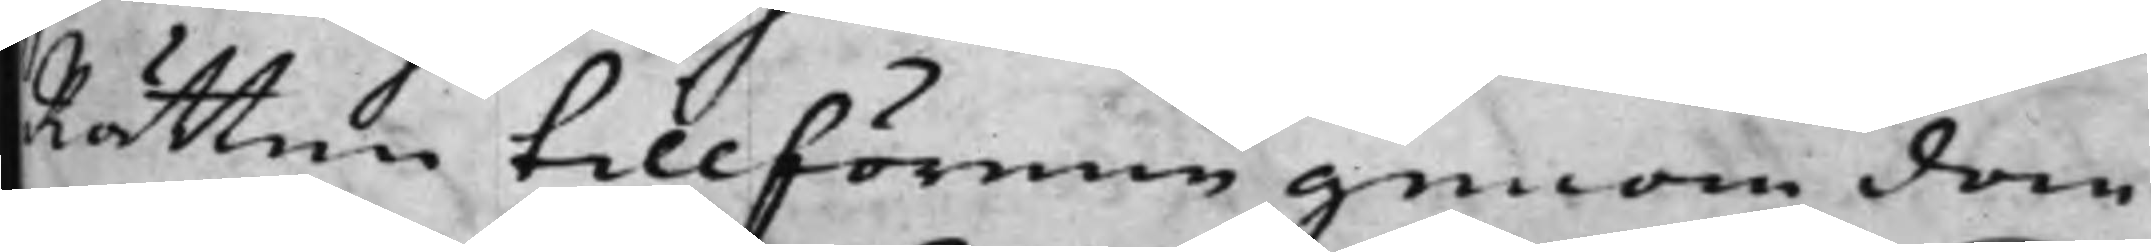Rätten tillförene genom dom
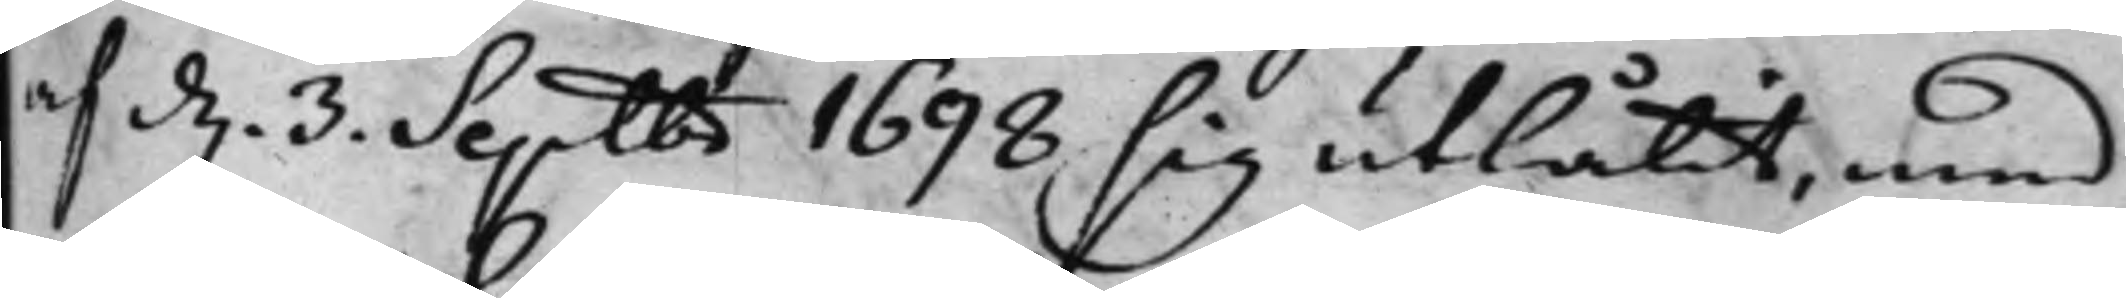af d. 3. Septbr 1698, sig utlåtit, med
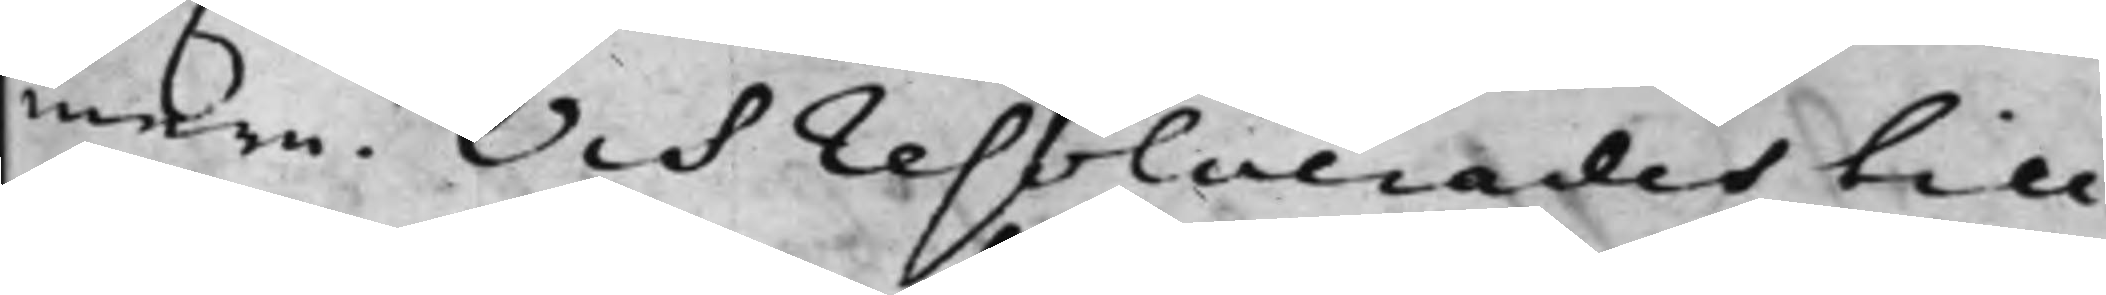mera. Och resolverades till
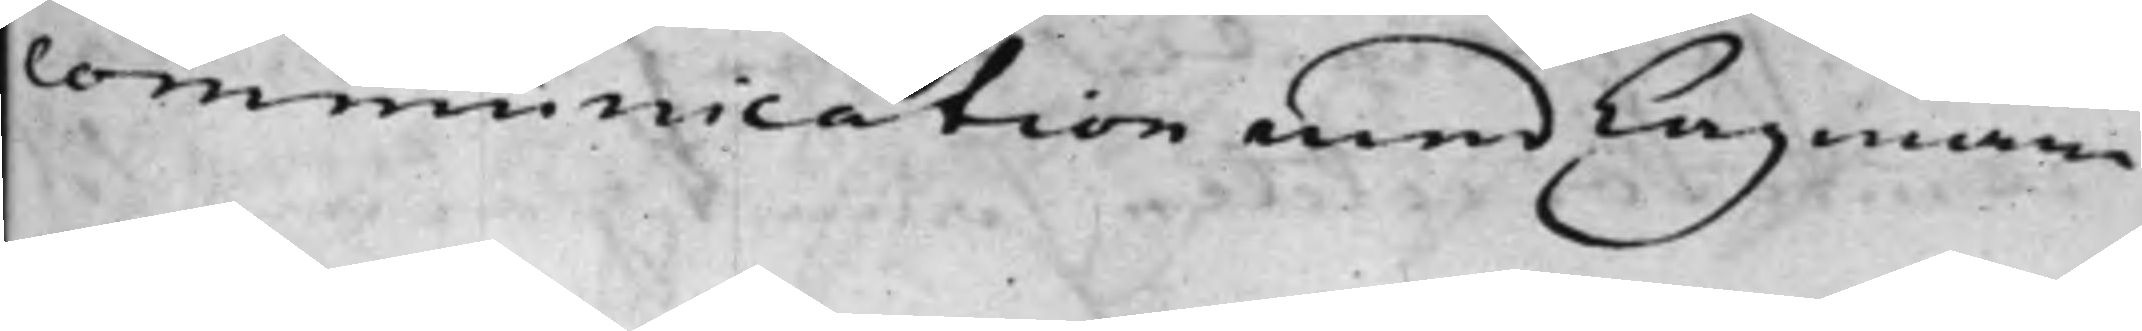communication med Lagman¬
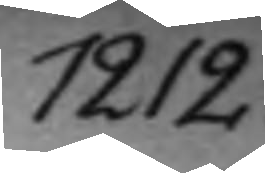1212.
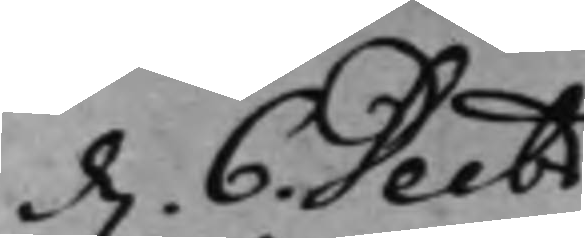d. 6. Decbr
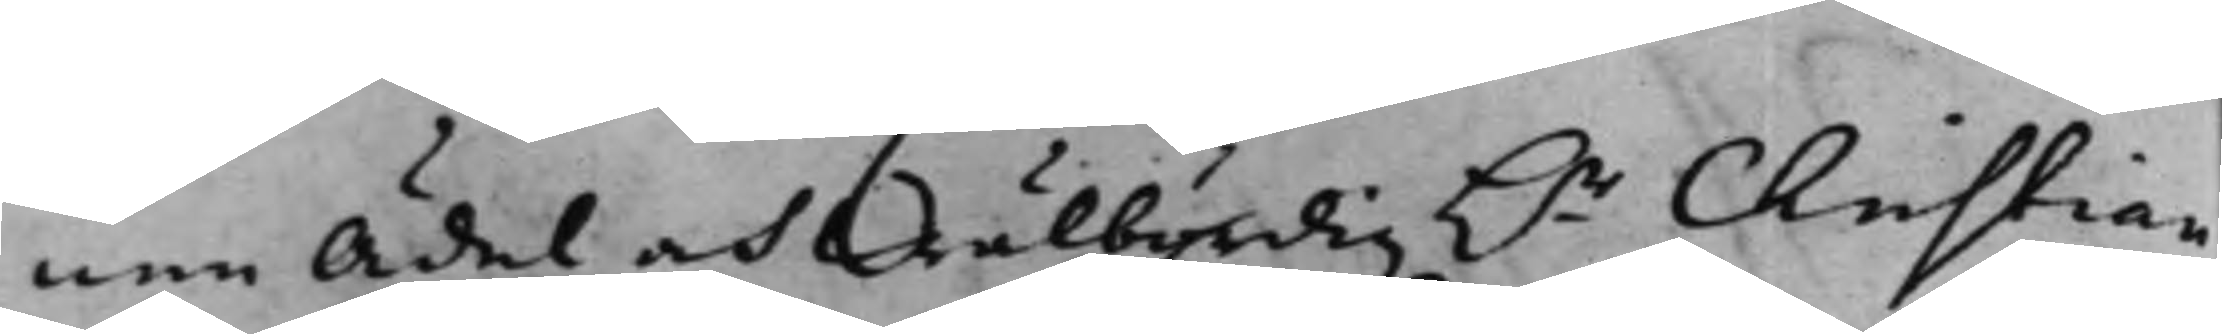nen Ädel och Wälbördig h.r Christian
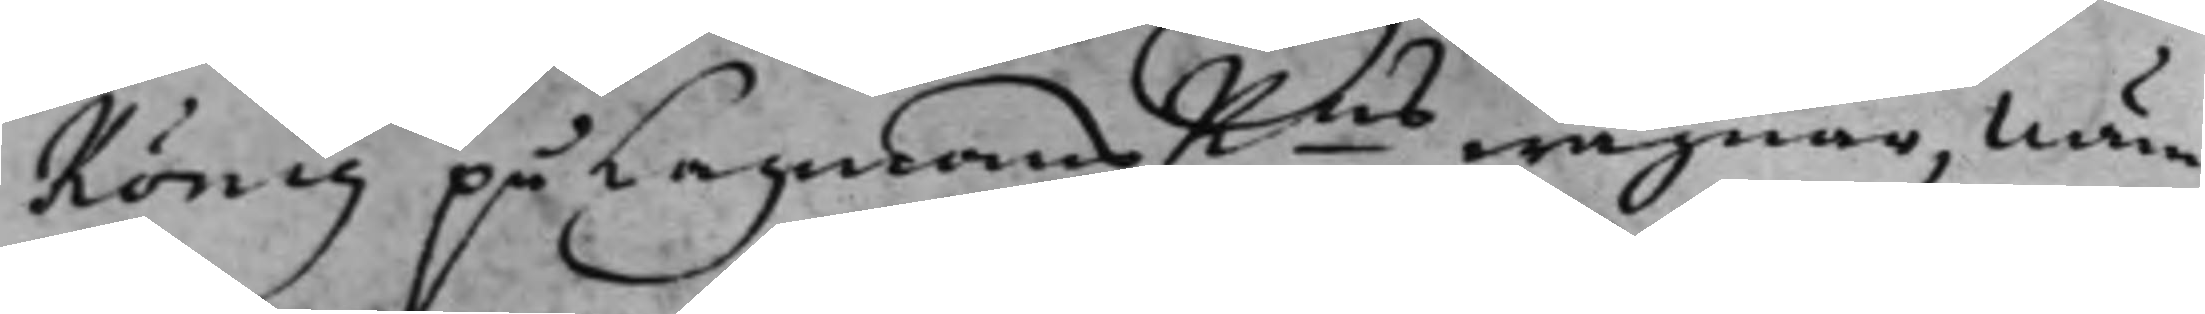König på LagmansRns wägnar, näm¬
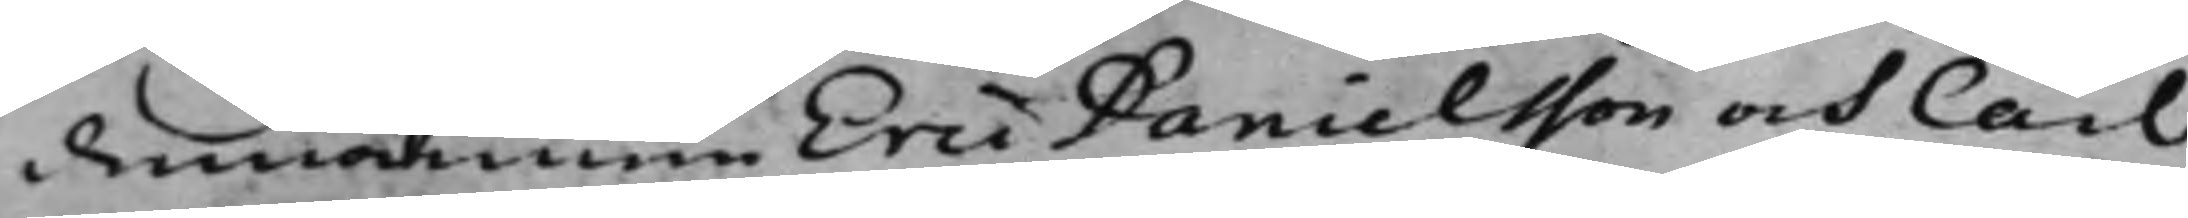demannen Eric Danielsson och Carl
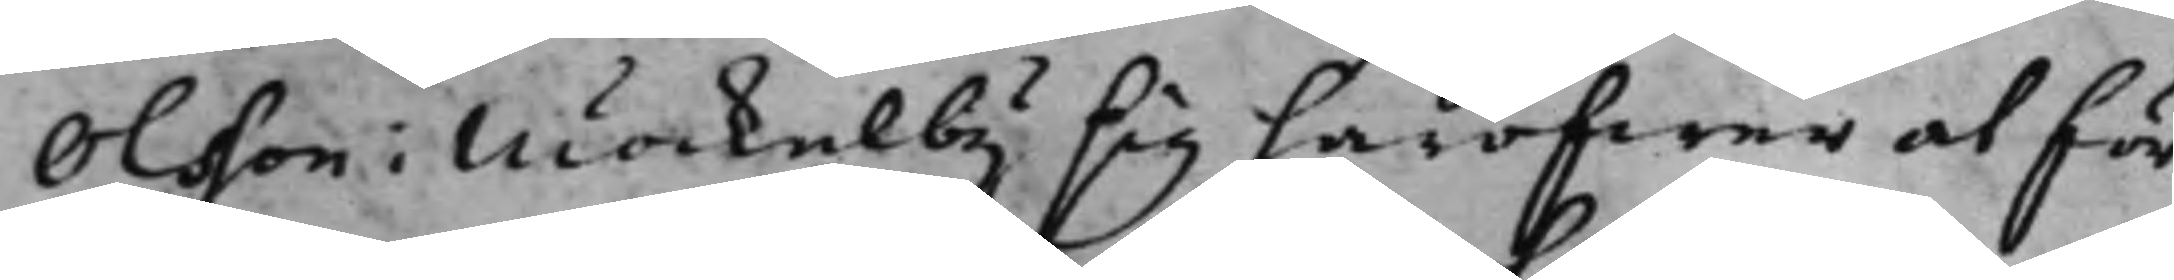Olsson i Möckelby sig häröfwer at för¬
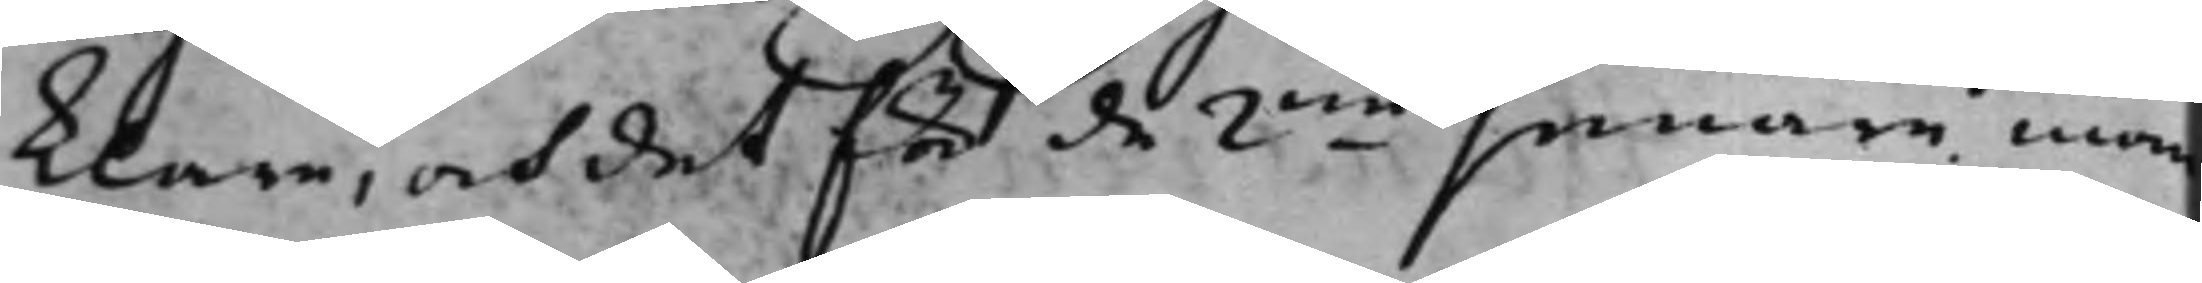klare, och det för de 2ne senare inom
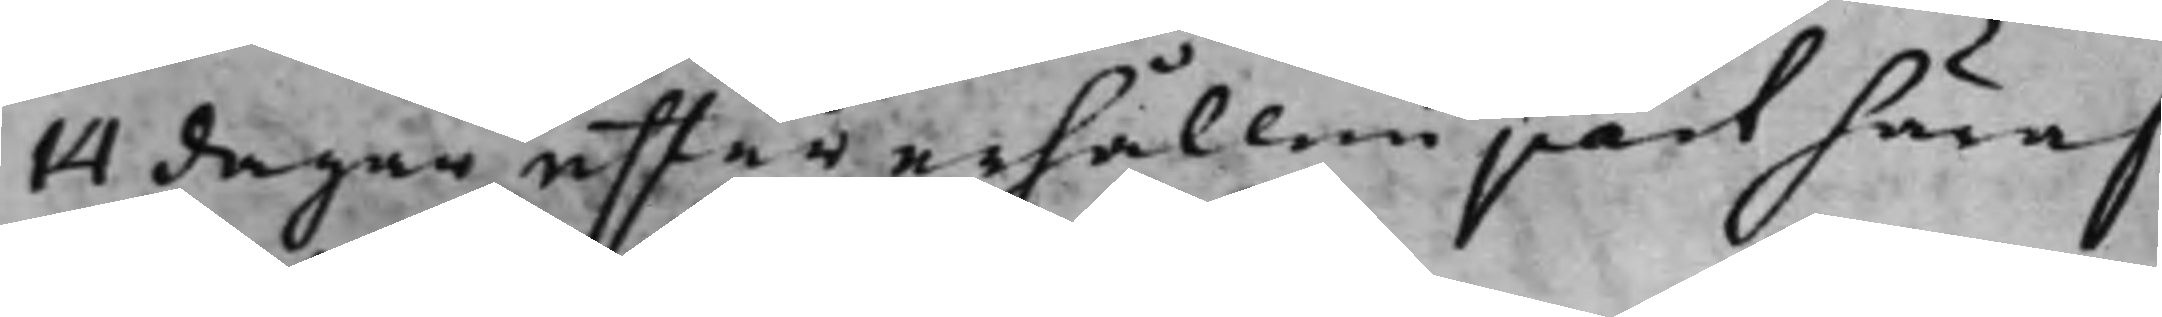14 dagar efter erhållen part häraf
